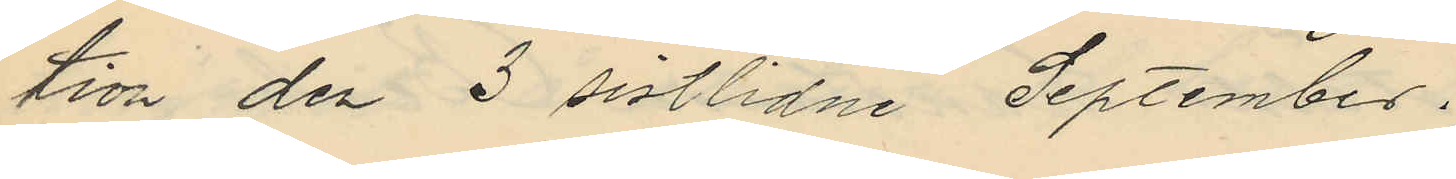tion den 3 sistlidne September.
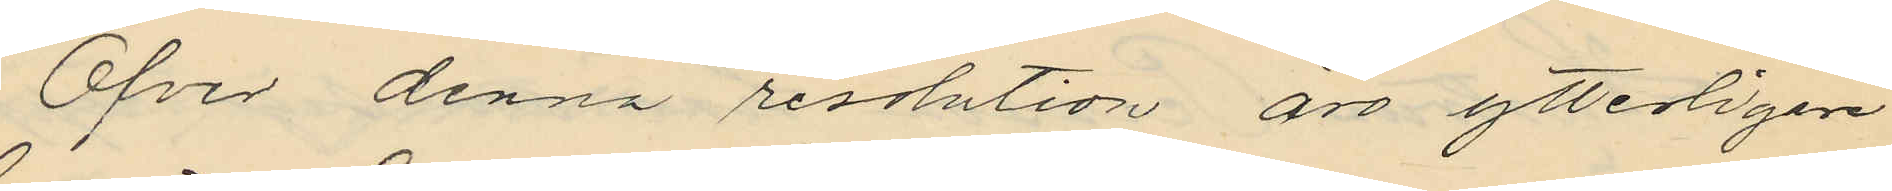Öfver denna resolution äro ytterligare
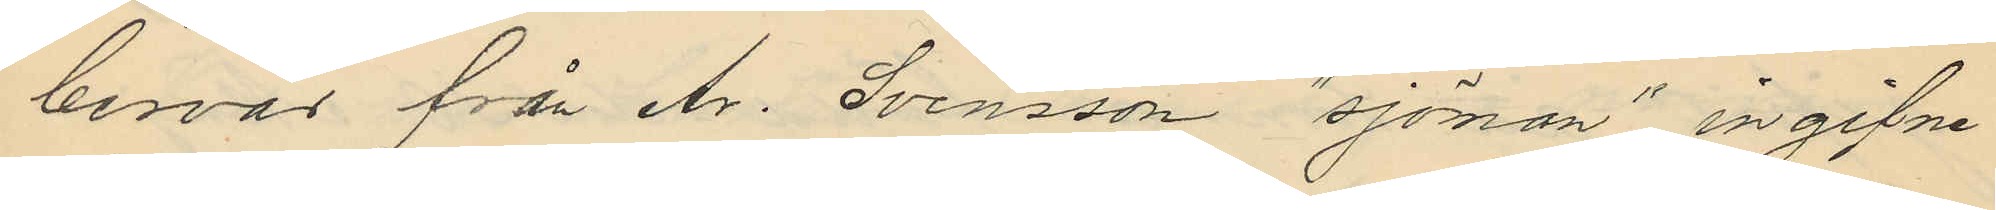besvär från Ar. Svensson "sjöman" ingifne
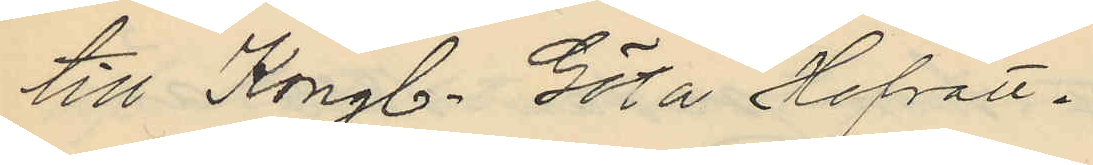till Kongl. Göta Hofrätt.
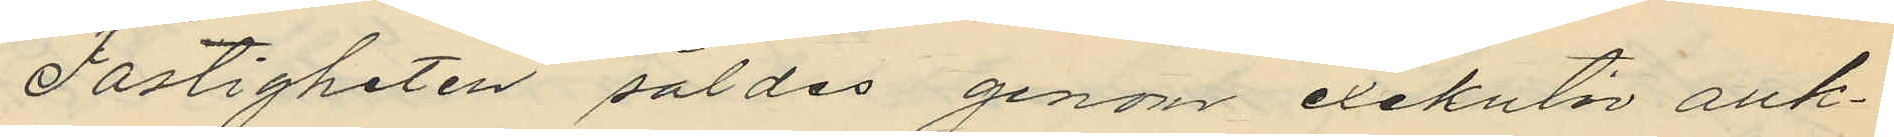Fastigheten såldes genom exekutiv auk¬
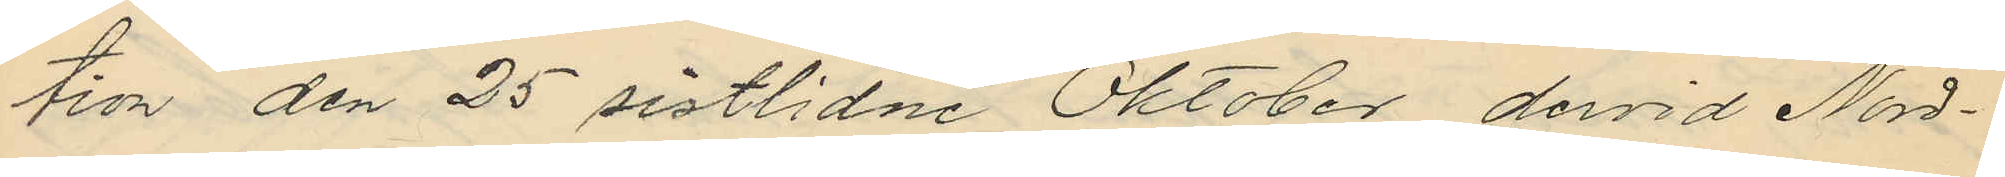tion den 25 sistlidne Oktober, dervid Nord¬
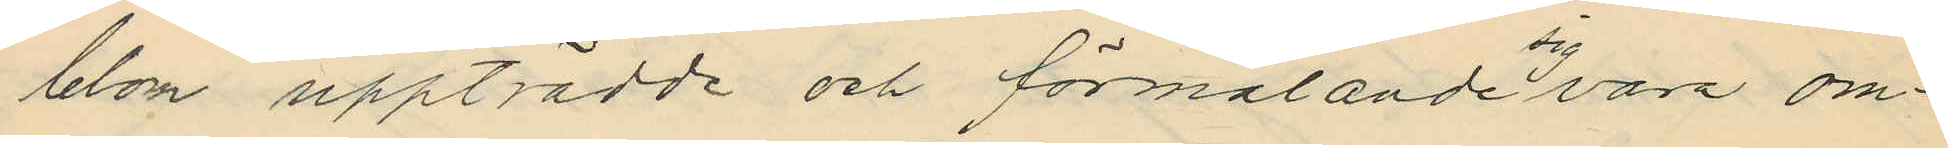blom uppträdde och förmälande sig vara om¬
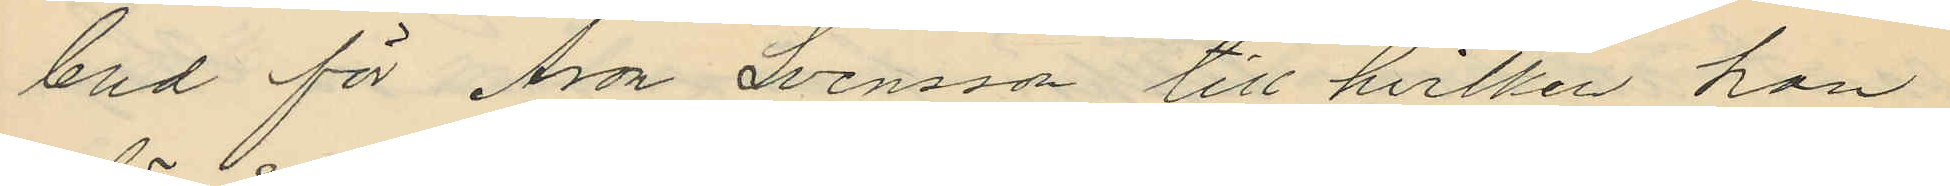bud för Aron Svensson, till hvilken han
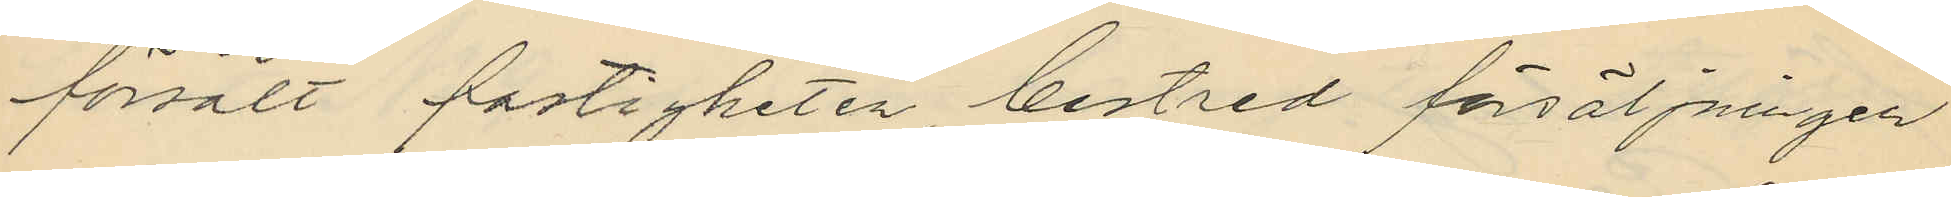försålt fastigheten bestred försäljningen
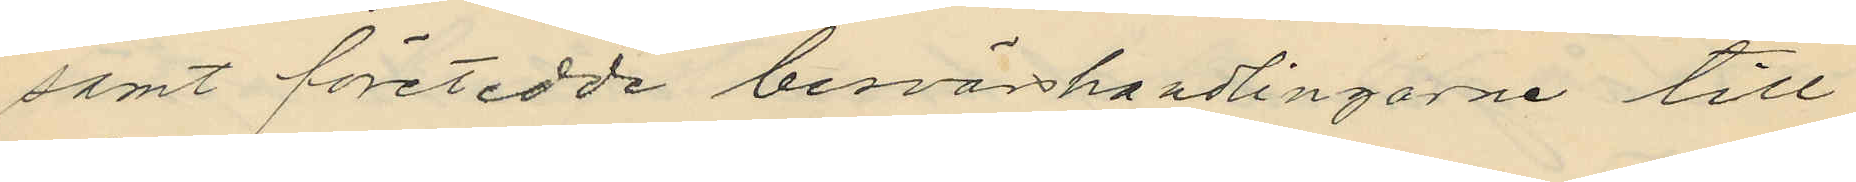samt företedde besvärshandlingarne till
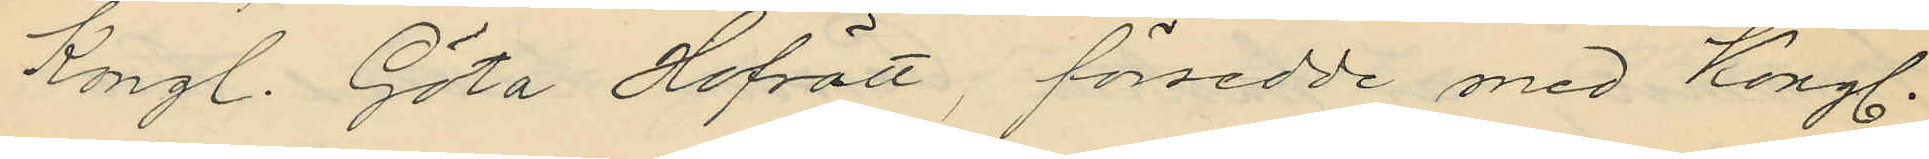Kongl. Göta Hofrätt, försedde med Kongl.
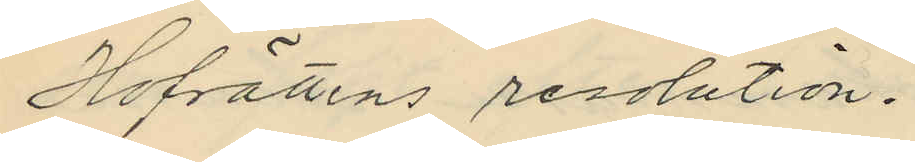Hofrättens resolution.
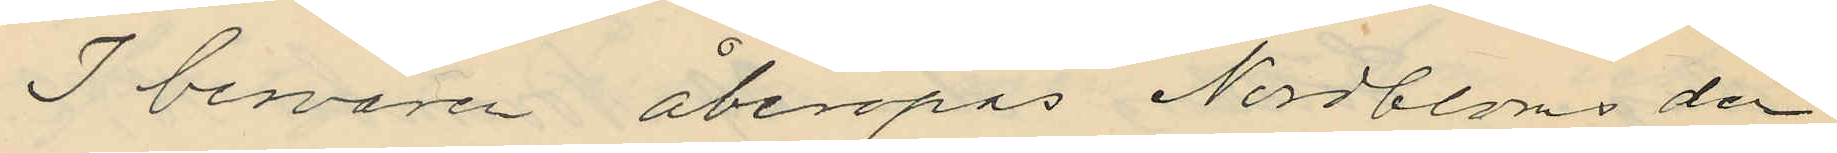I besvären åberopas Nordbloms den
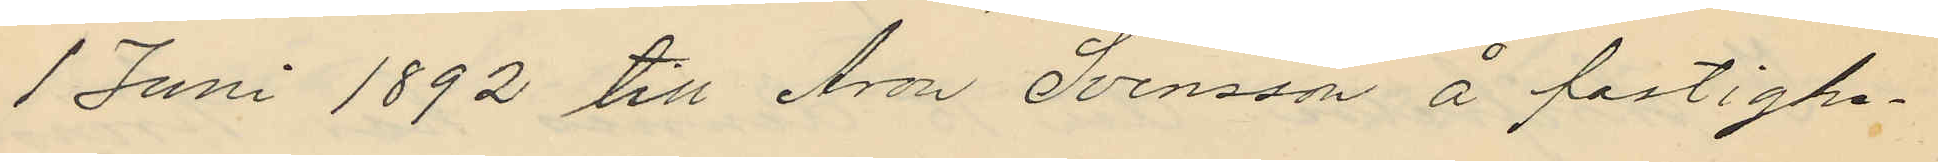1 Juni 1892 till Aron Svensson å fastighe¬
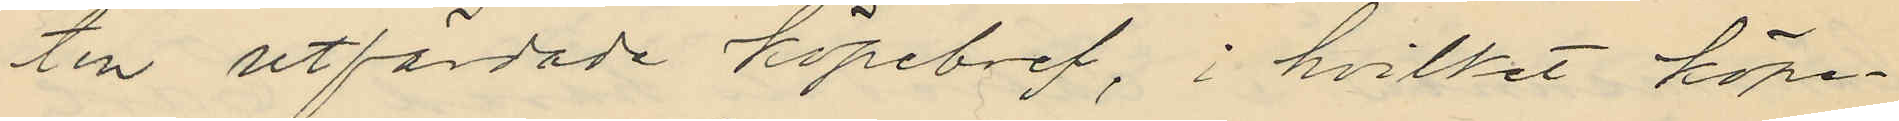ten utfordade köpebref, i hvilket köpe¬
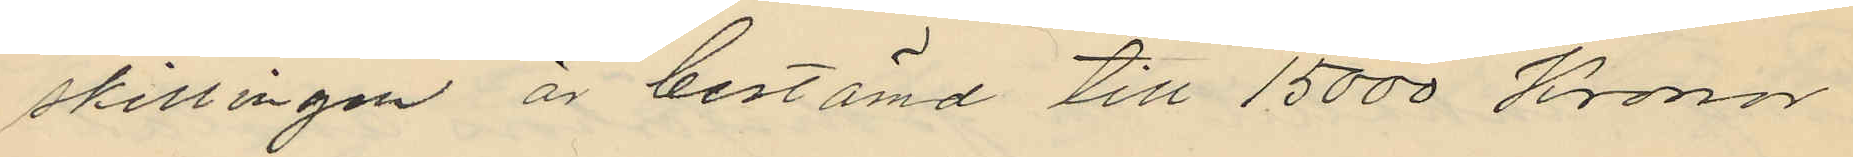skillingen är bestämd till 15000 Kronor
